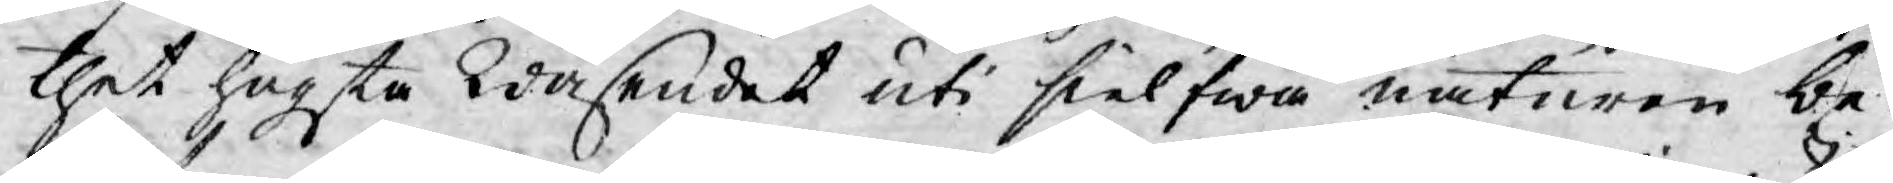thet högsta Wäsendet uti sielfwa naturen be¬
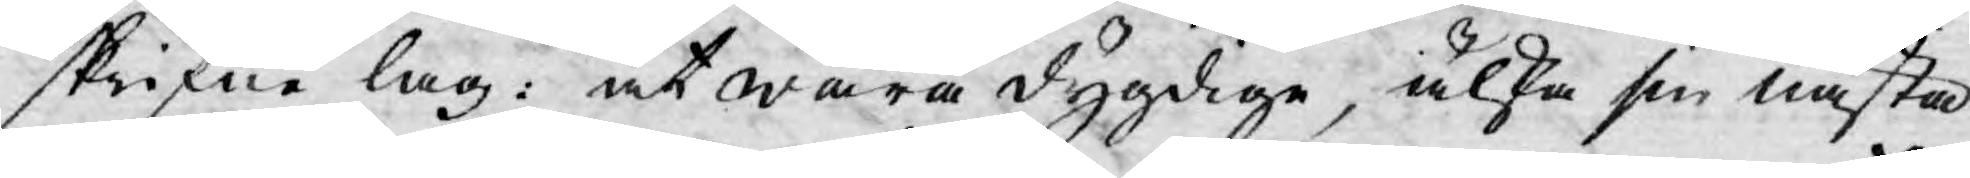skrifne lag: at wara dygdige, älska sin nästa
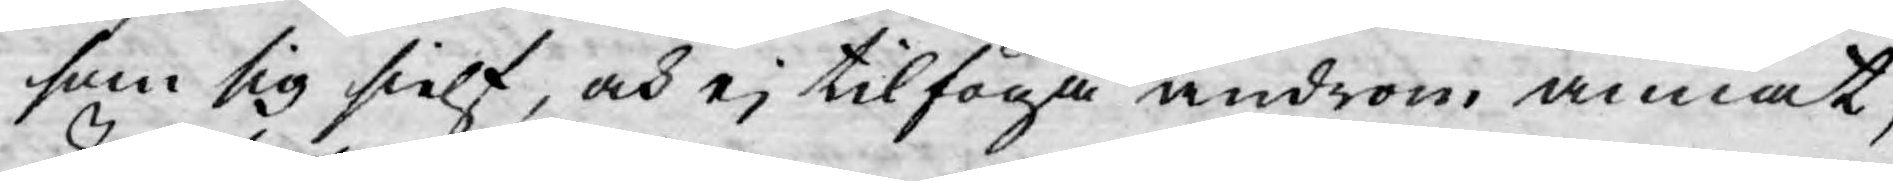som sig sielf, och ej tilfoga androm annat,
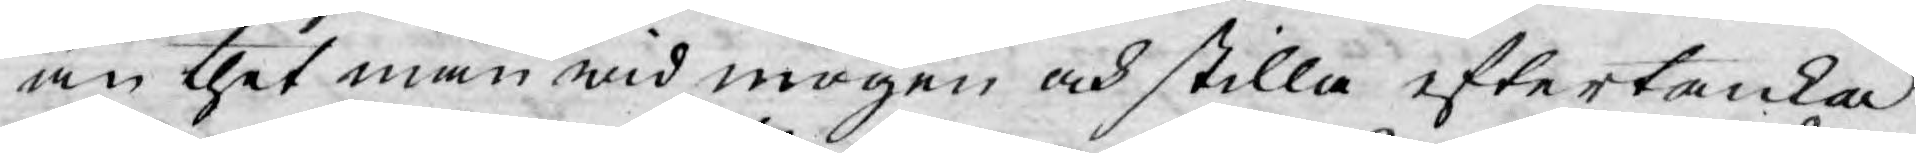än thet man wid mogen och stilla eftertanka
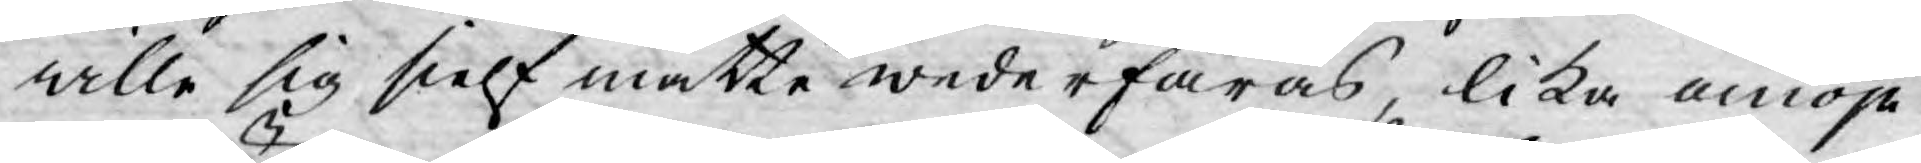wille sig sielf måtte wederfaras, lika omöje¬
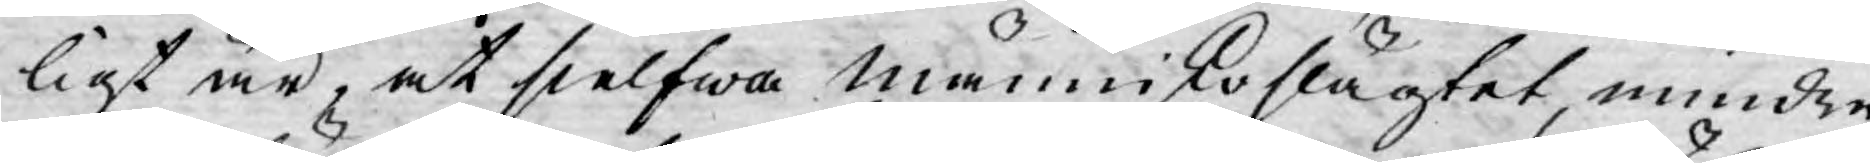ligt är, at sielfwa månniskoslägtet, mindre
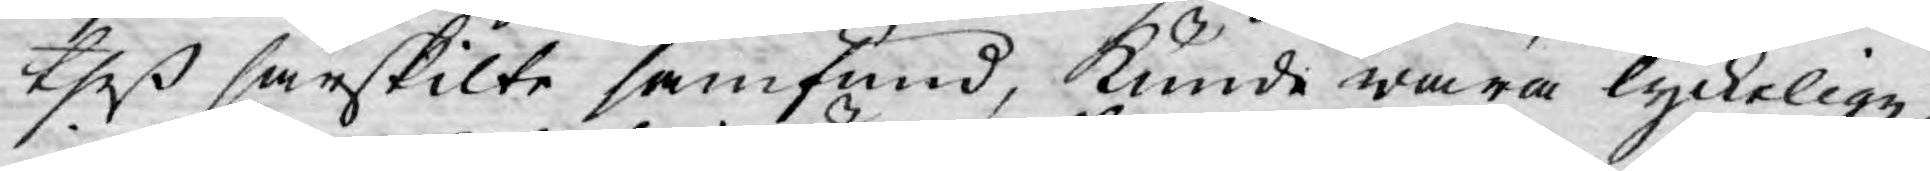theß särskilte samfund, kunde wara lyckelige,
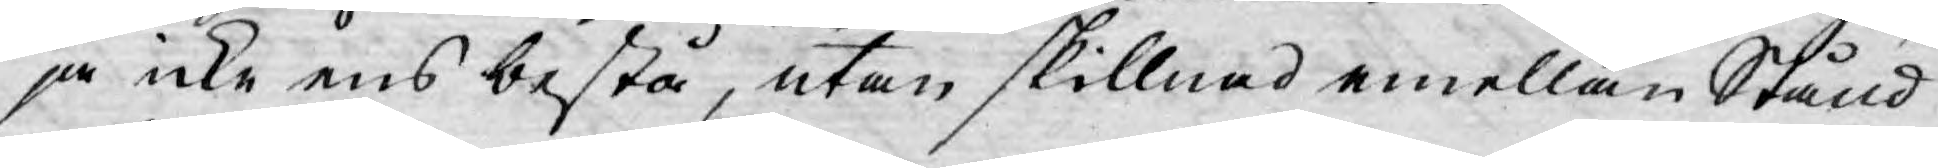ja icke ens bestå, utan skillnad emellan Stånd
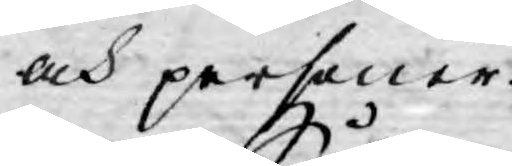och personer.
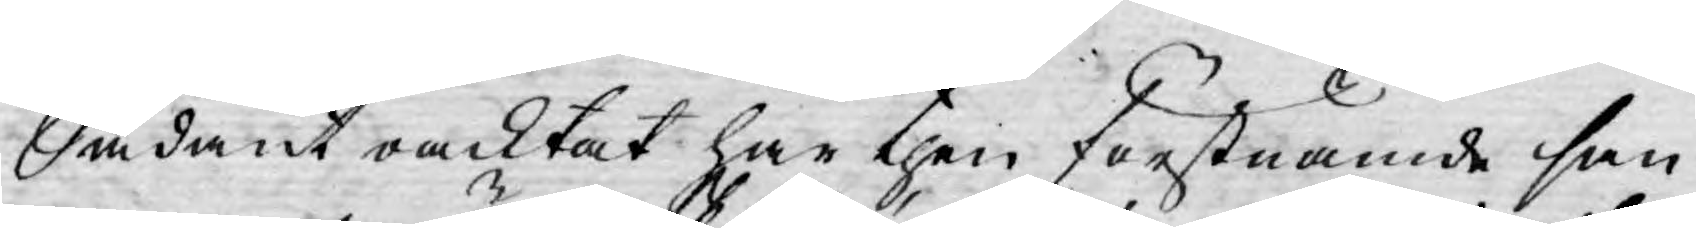Sådant oacktat har then förstnämde san¬
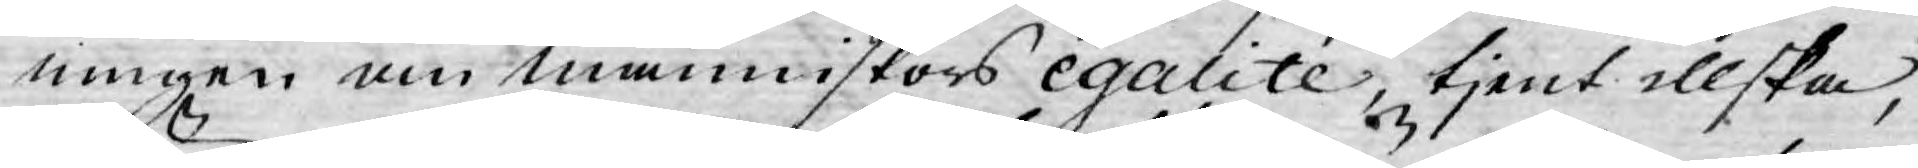ningen om människors egalité, tjent illska,
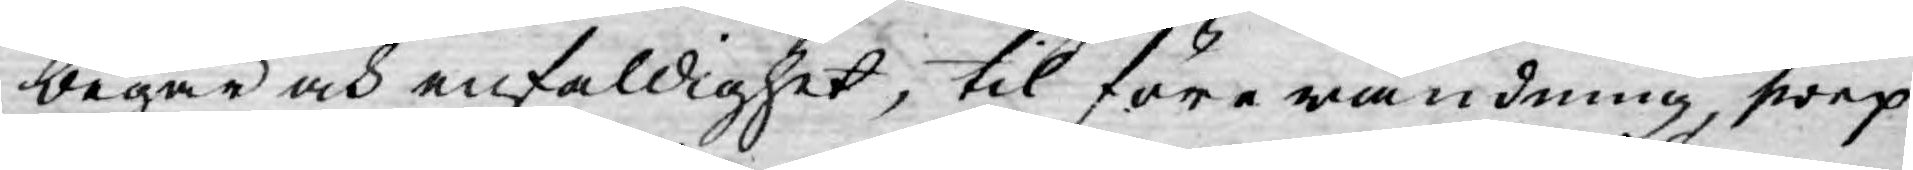begär och enfaldighet, til förewändning, swep¬
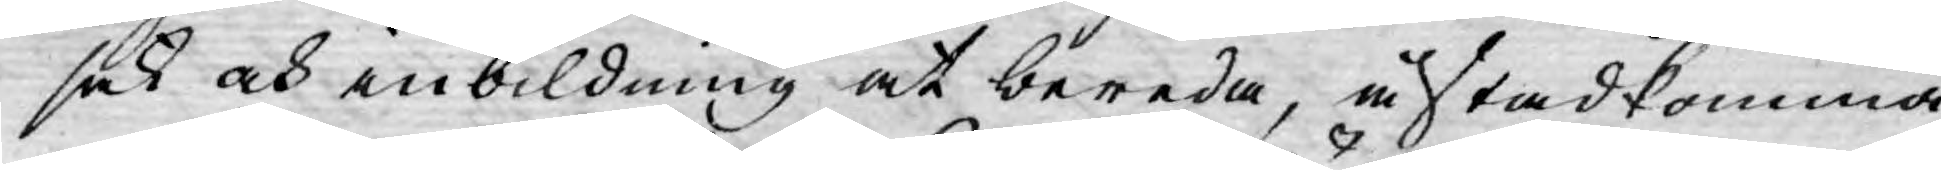sak och inbildning at bereda, åstadkomma
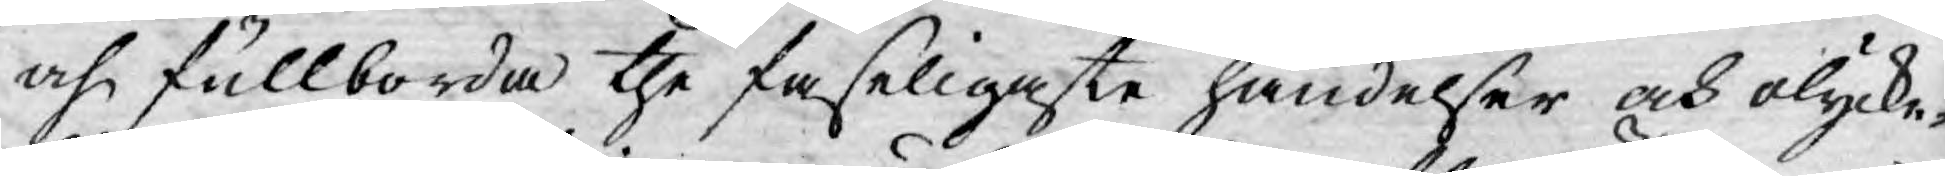och fullborda the faseligaste händelser och olycke¬
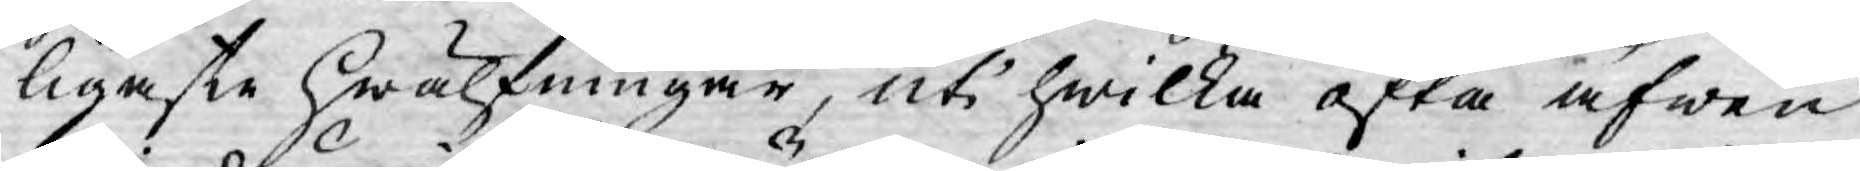ligaste hwälfningar, uti hwilka ofta äfwen
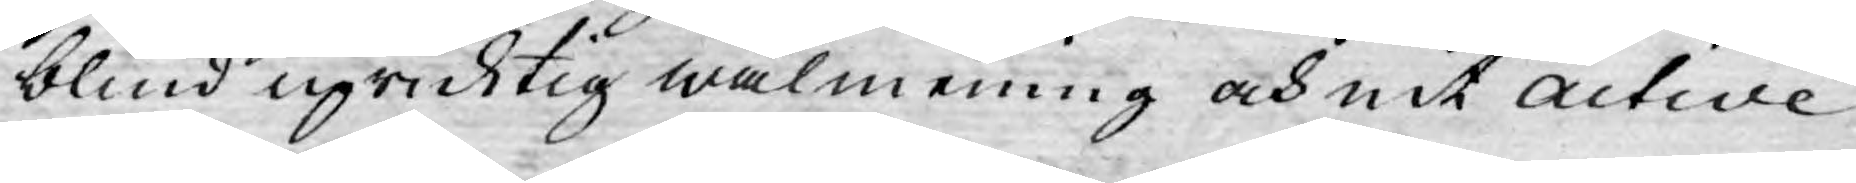blind upricktig wälmening och nit active
